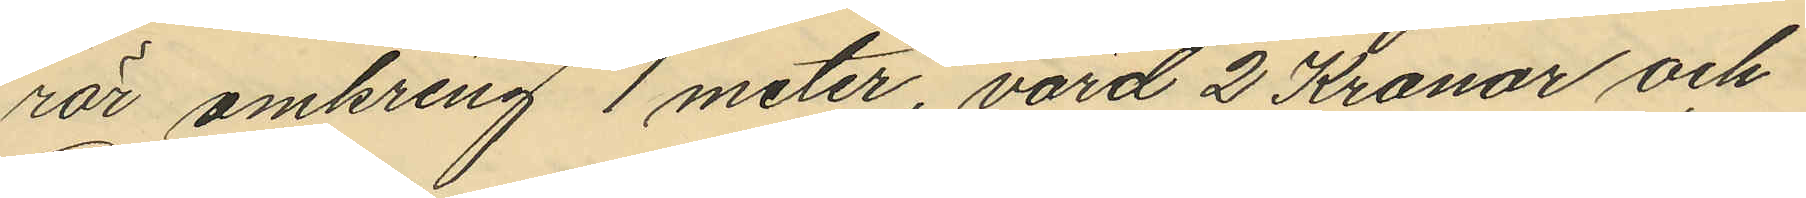rör omkring 1 meter, värd 2 Kronor och
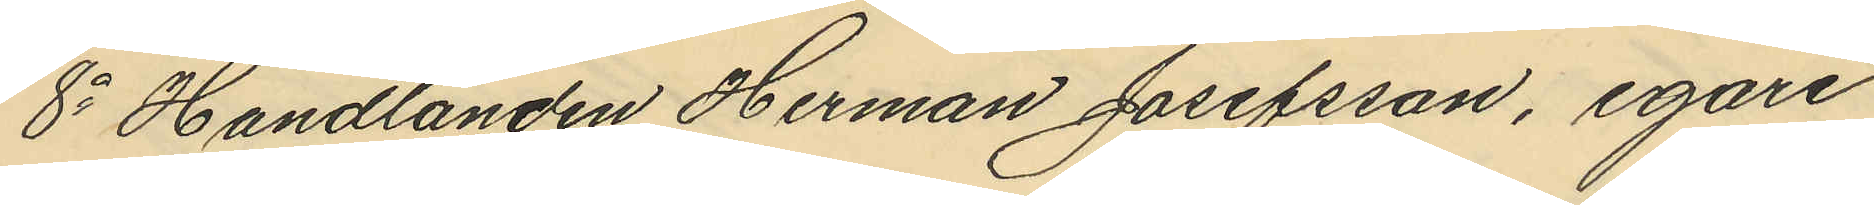8o Handlanden Herman Josefsson, egare
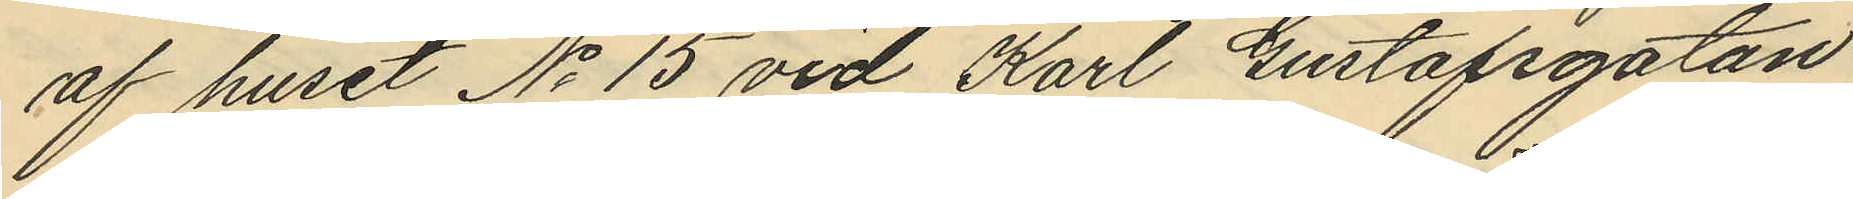af huset No 15 vid Karl Gustafsgatan
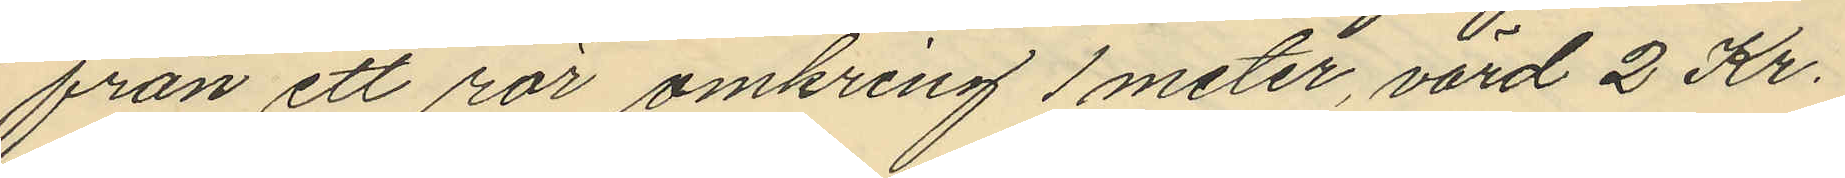från ett rör omkring 1 meter, värd 2 Kr.
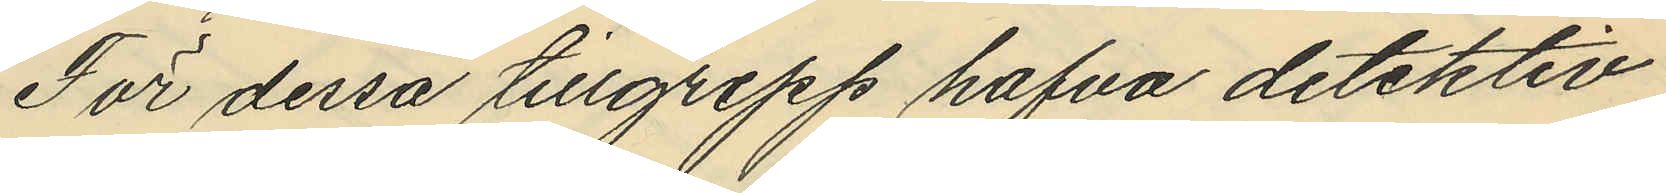För dessa tillgrepp hafva detektiv¬
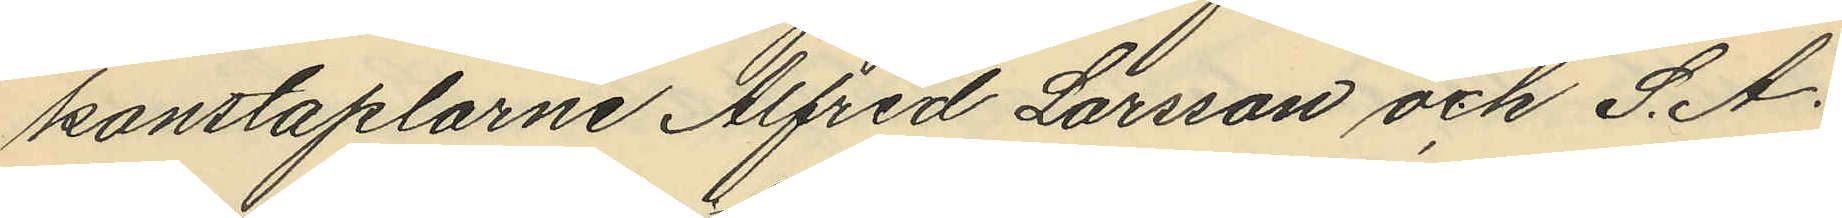konstaplarne Alfred Larsson och S. A.
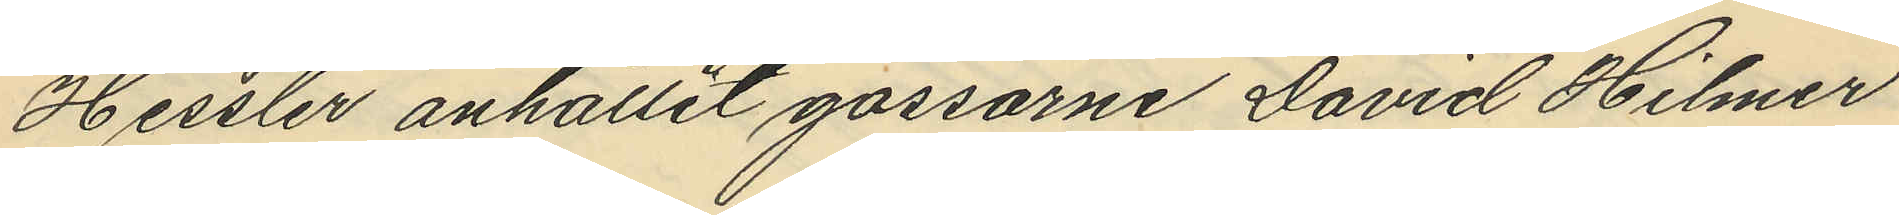Hessler anhållit gossarne David Hilmer
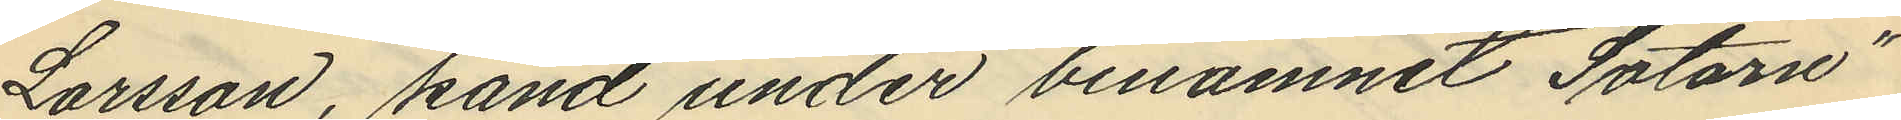Larsson, känd under binamnet "Sotarn"
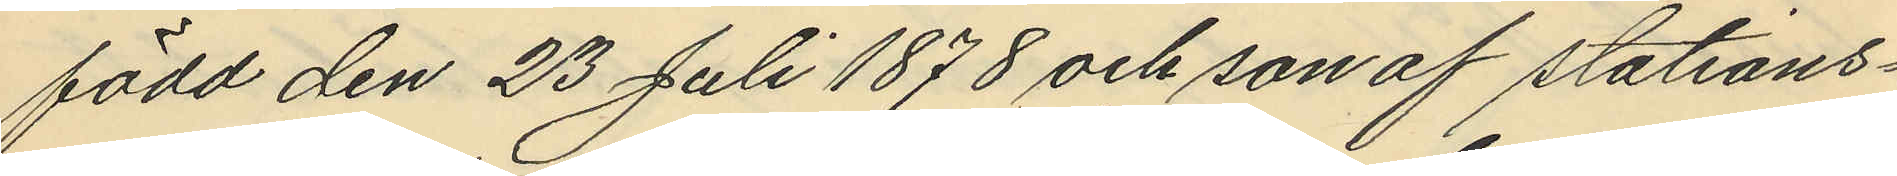född den 23 Juli 1878 och son af stations¬
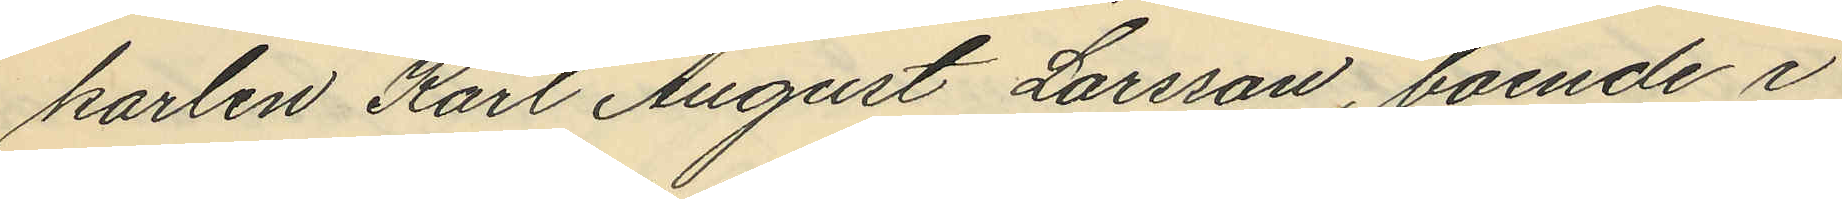karlen Karl August Larsson, boende i
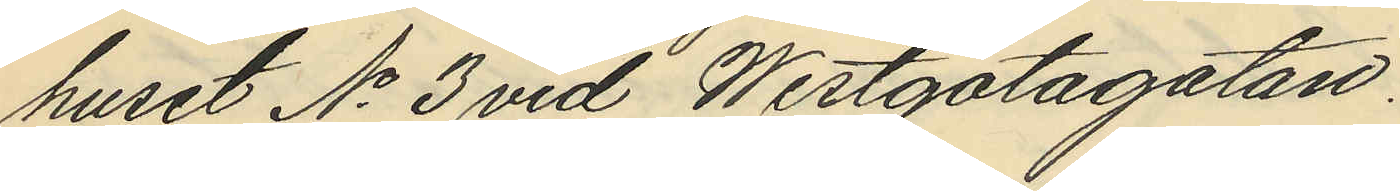huset No 3 vid Westgötagatan.
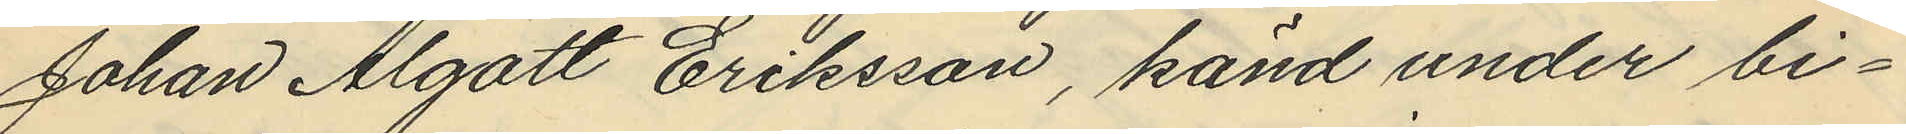Johan Algott Eriksson, känd under bi¬
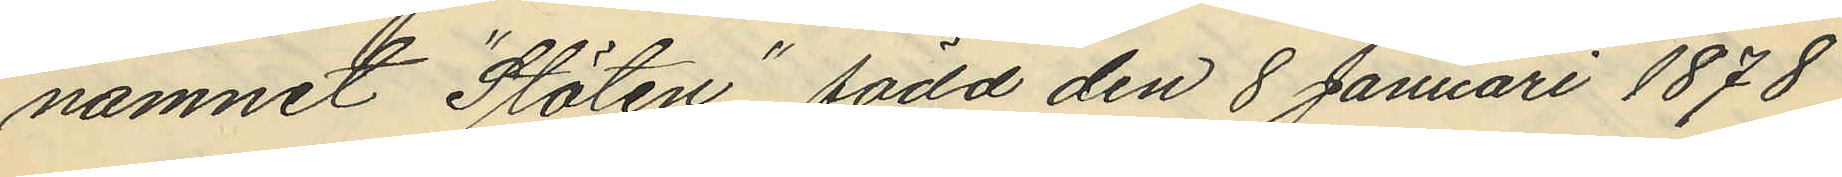namnet "Stöten", född den 8 Januari 1878
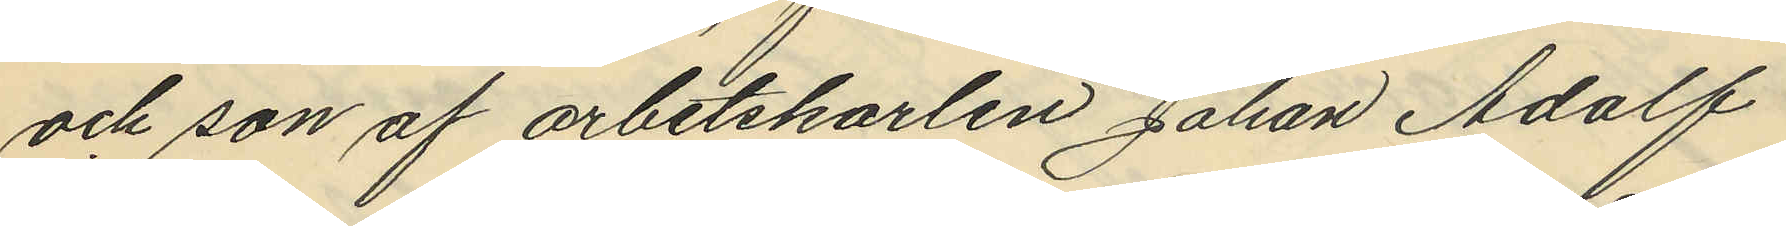och son af arbetskarlen Johan Adolf
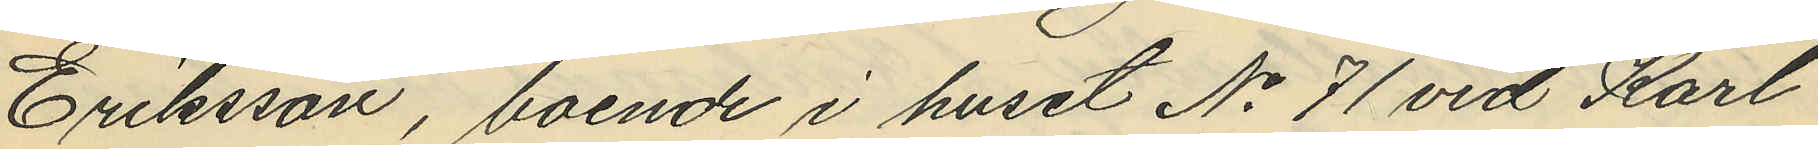Eriksson, boende i huset No 71 vid Karl
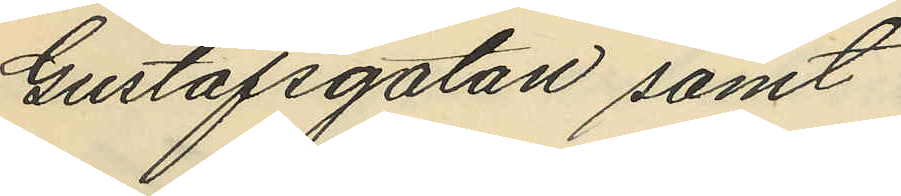Gustafsgatan samt
